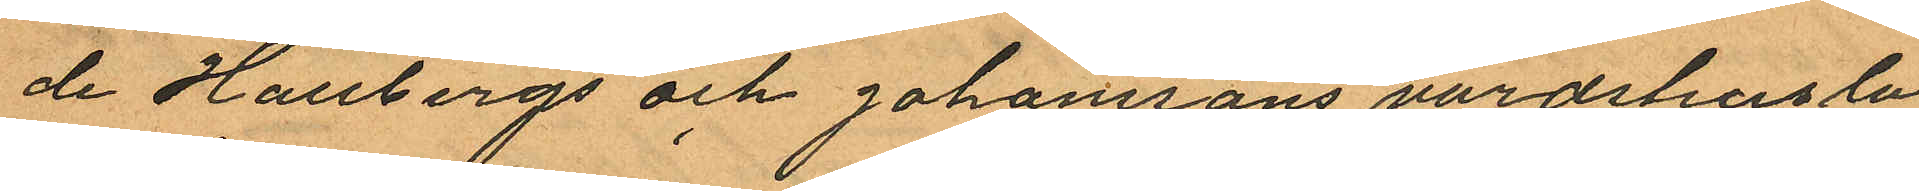de Hallbergs och Johanssons värdshuslo
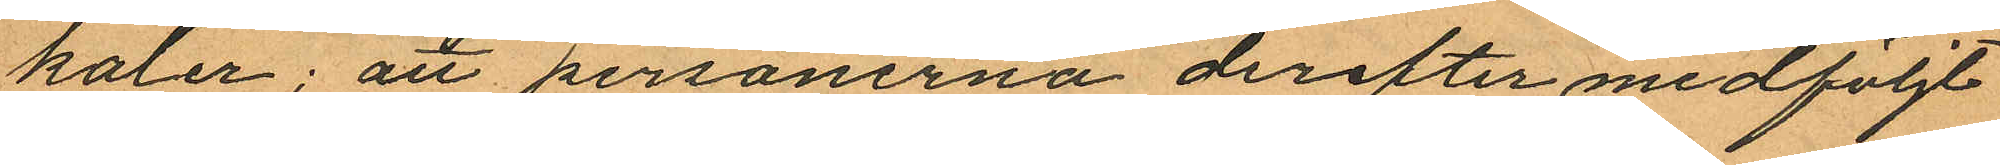kaler; att personerna derefter medföljt
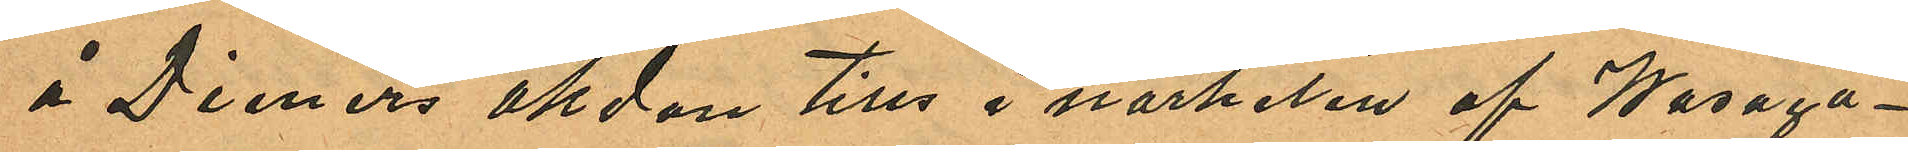å Dieners åkdon tills i närheten af Wasaga¬
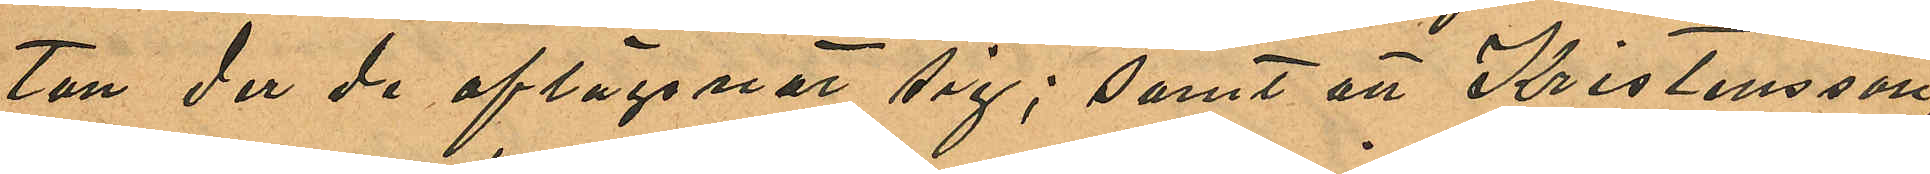tan der de aflägsnat sig; samt att Kristensson
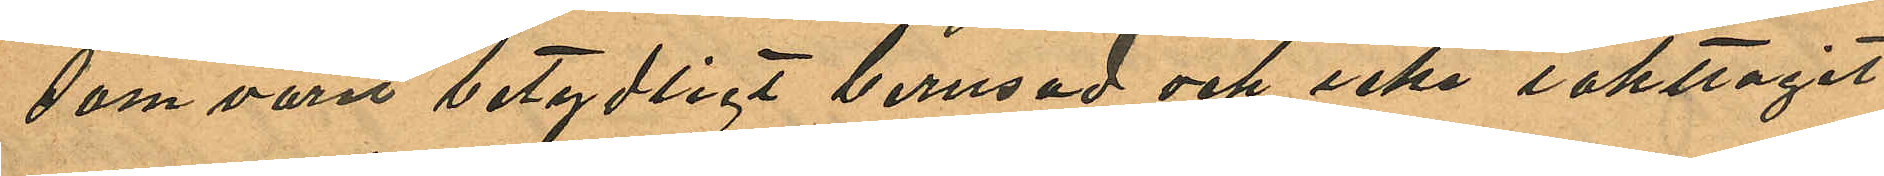som varit betydligt berusad och icke iakttagit
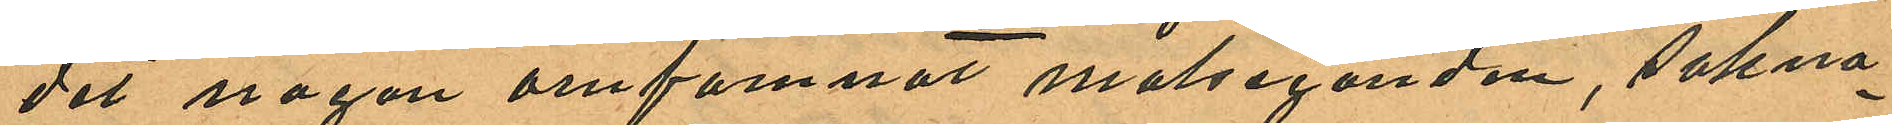det någon omfamnat målseganden, sakna¬
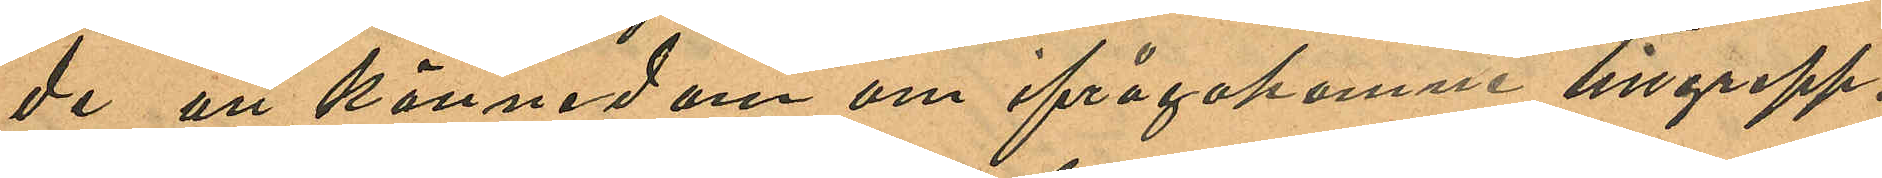de all kännedom om ifrågakomne tillgrepp.
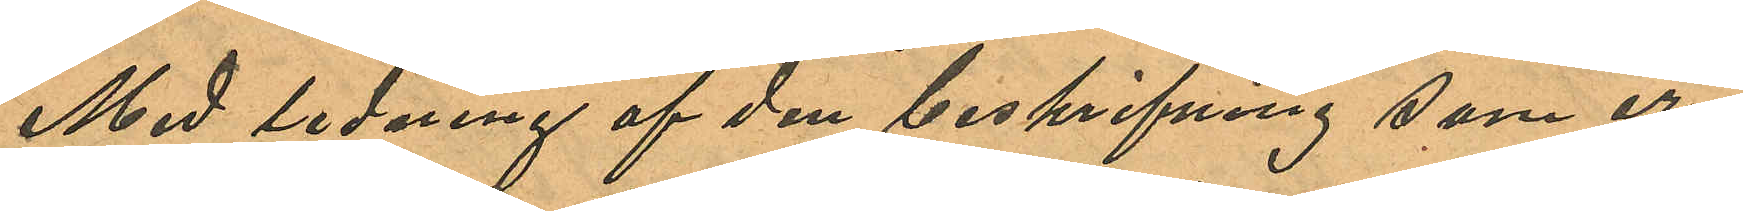Med ledning af den beskrifning som er¬
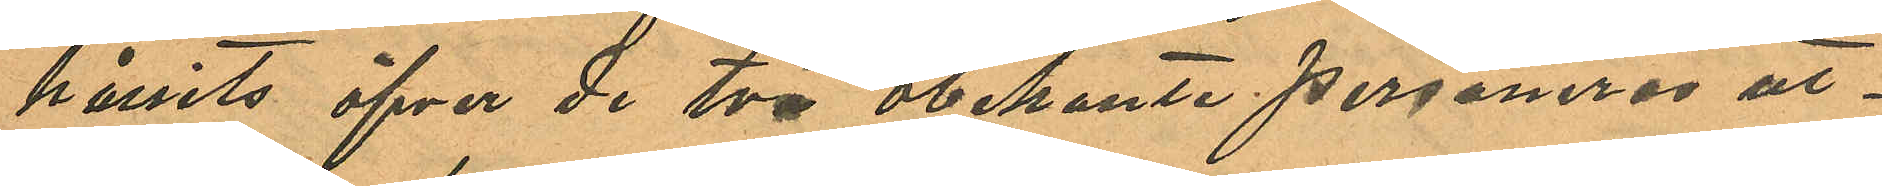hållits öfver de två obekante personeras ut¬
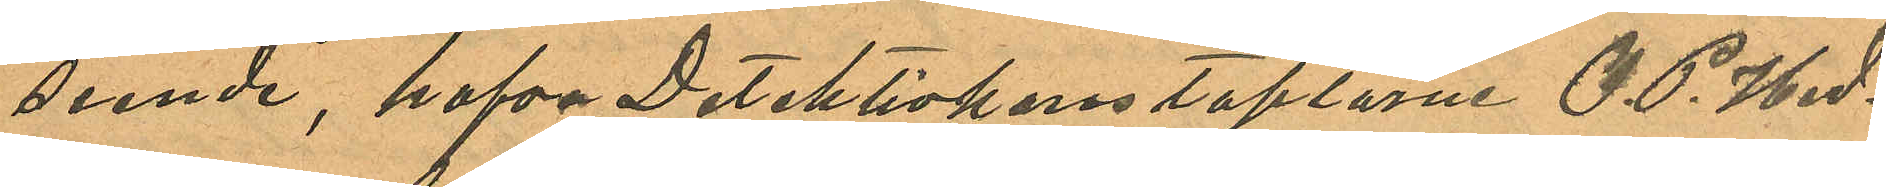seende, hafva Detektivkonstaplarne O. P. Hed¬
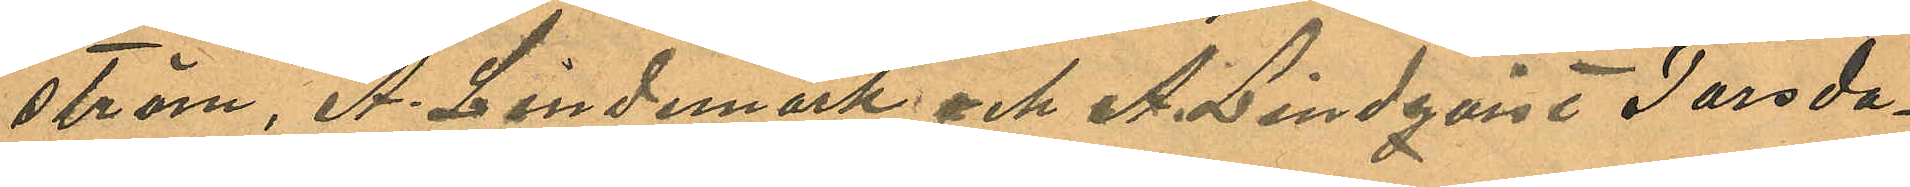ström, A. Lindemark och A. Lindqvist Torsda¬
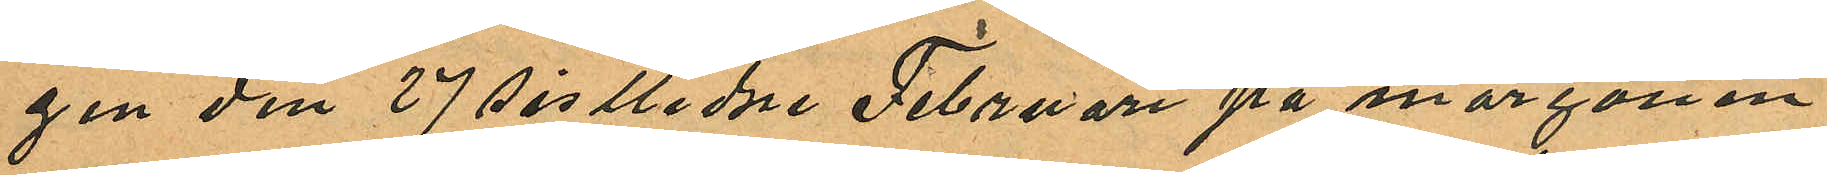gen den 27 sistlidne Februari på morgonen
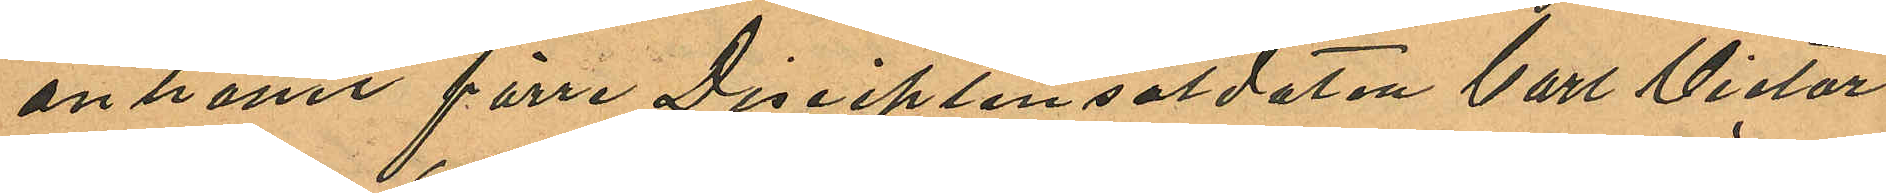anhållit förre Disciplinsoldaten Carl Victor
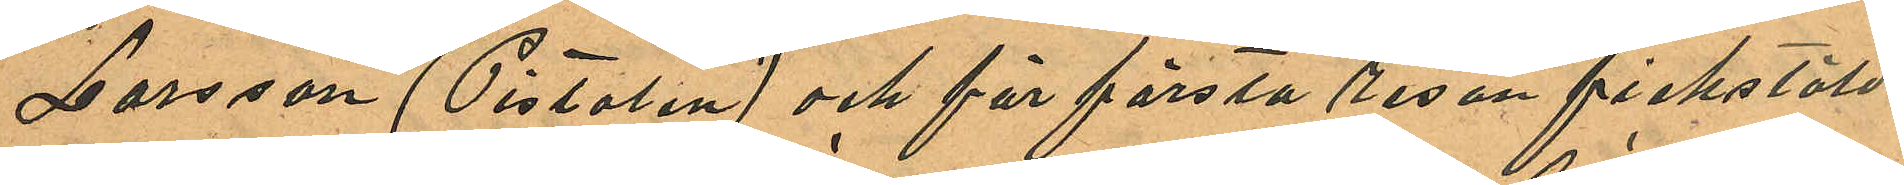Larsson (Pistolen) och för första resan fickstöld
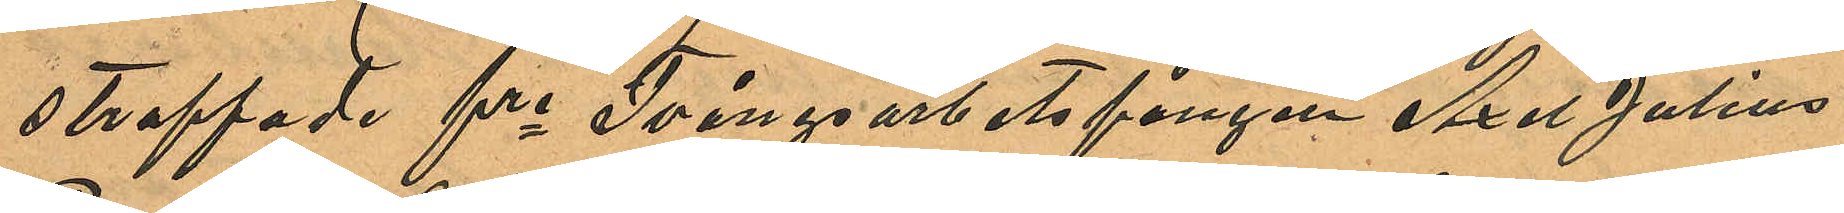straffade fre Tvångsarbetsfången Axel Julius
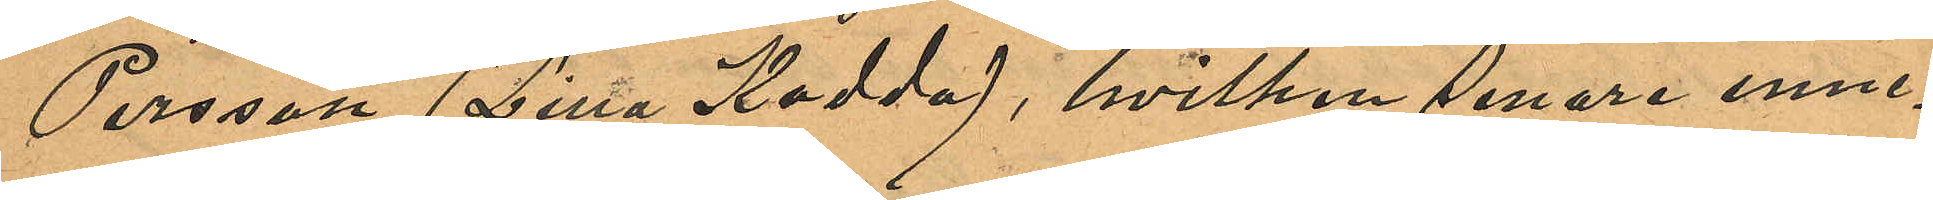Persson (Lilla Kodda), hvilken senare inne¬
